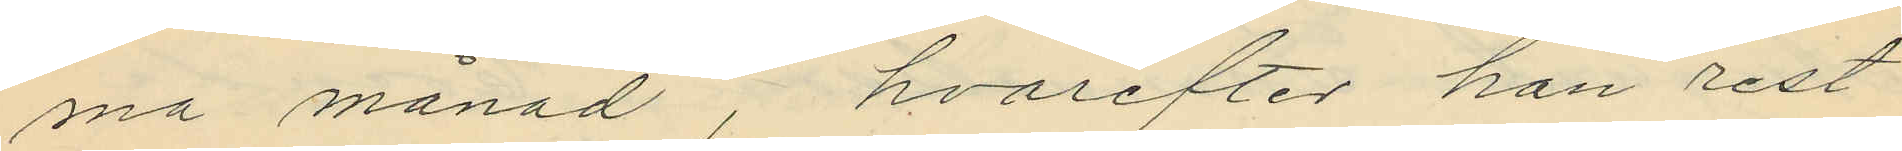ma månad, hvarefter han rest
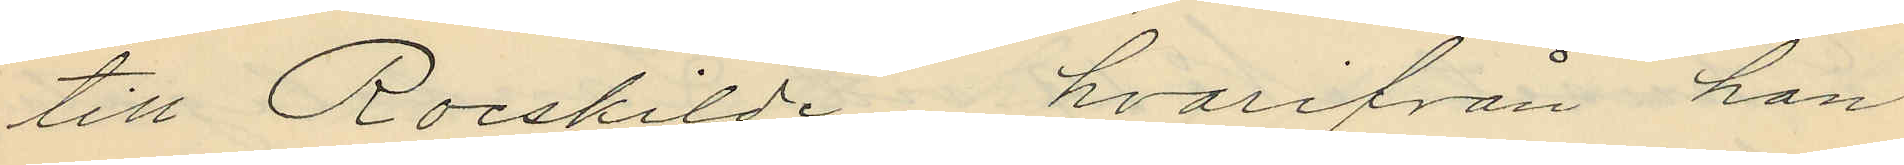till Roeskilde, hvarifrån han
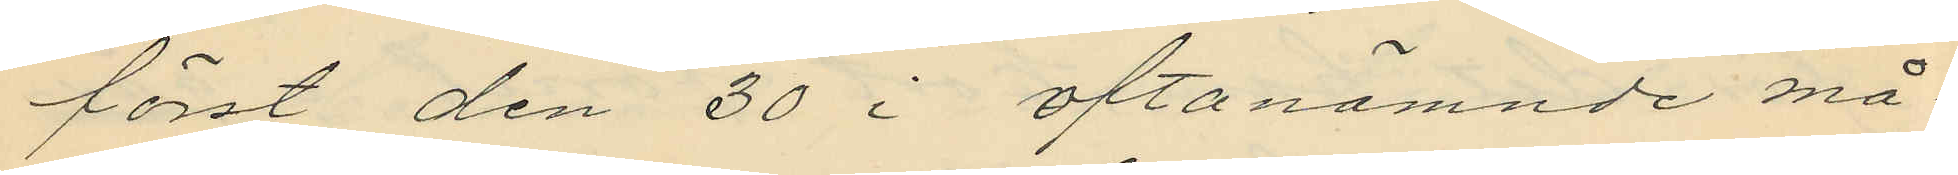först den 30 i oftanämnde må¬
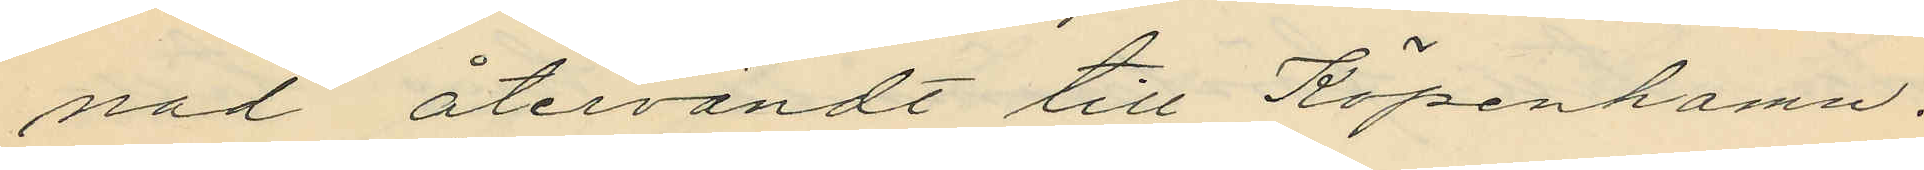nad återvändt till Köpenhamn.
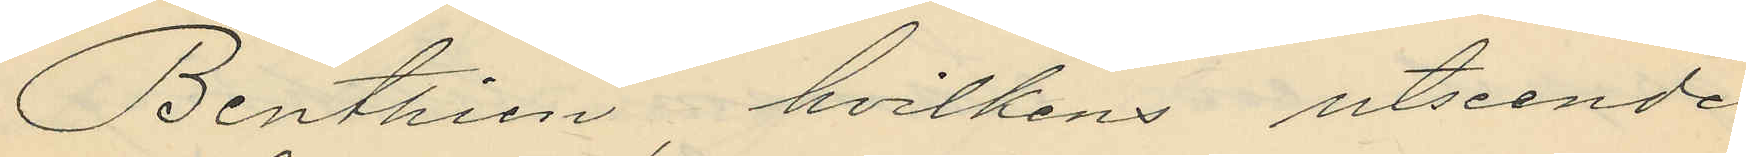Benthien, hvilkens utseende
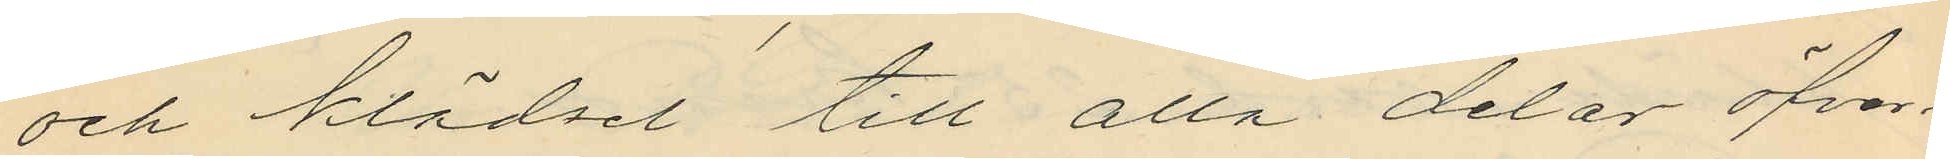och klädsel till alla delar öfver¬
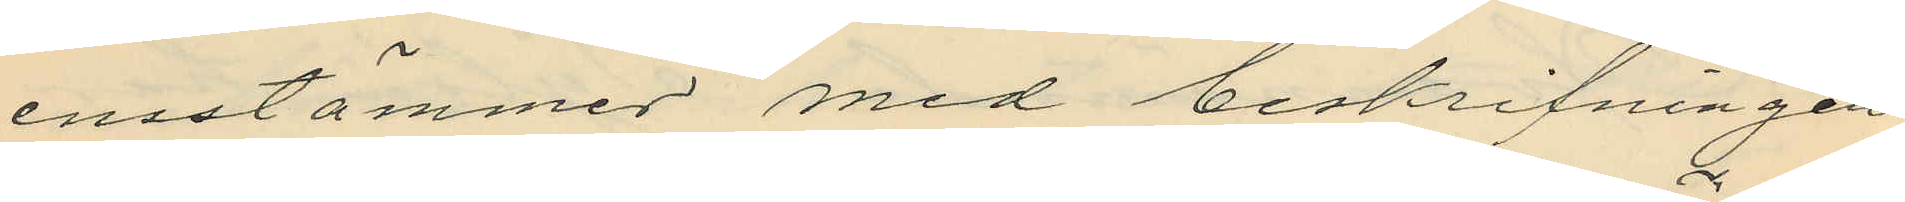ensstämmer med beskrifningen
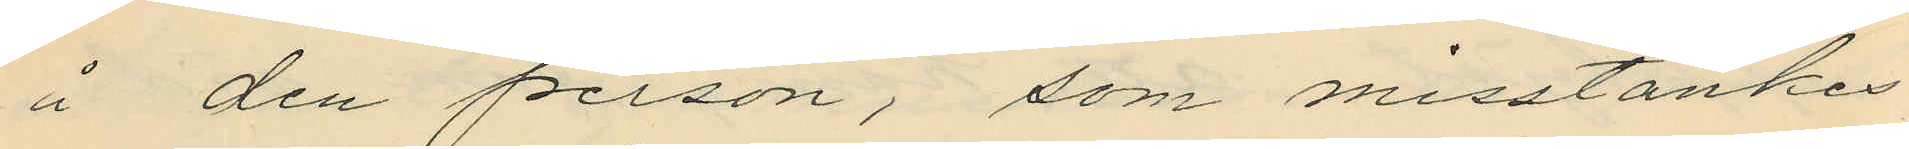å den person, som misstänkes
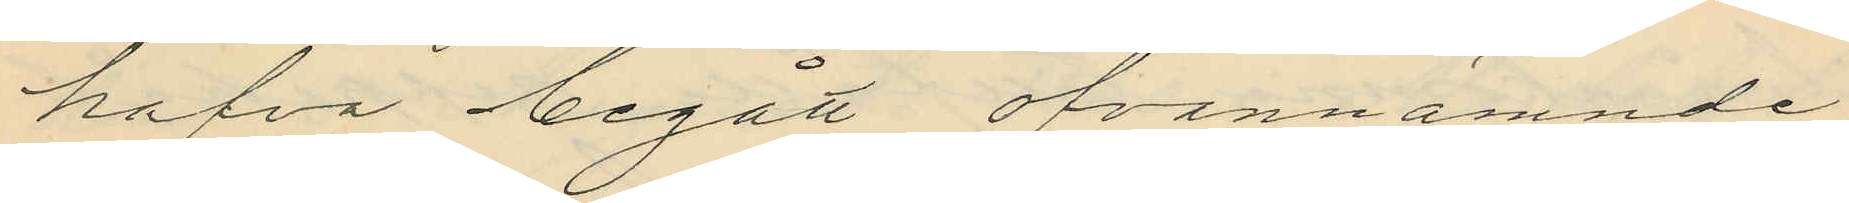hafva begått ofvannämnde
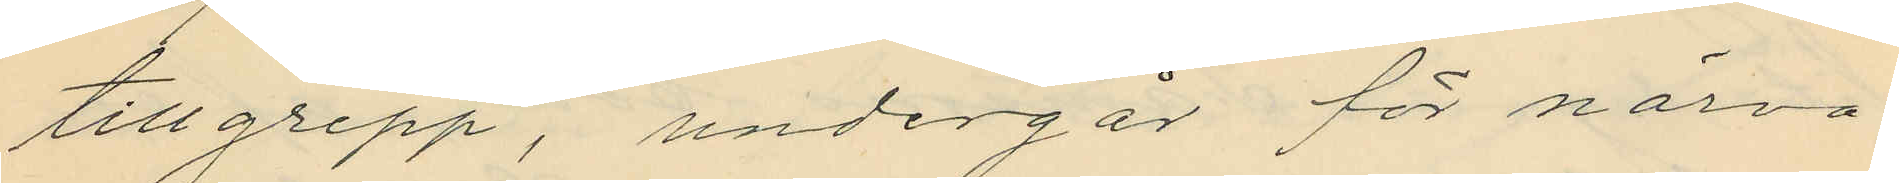tillgrepp, undergår för närva¬
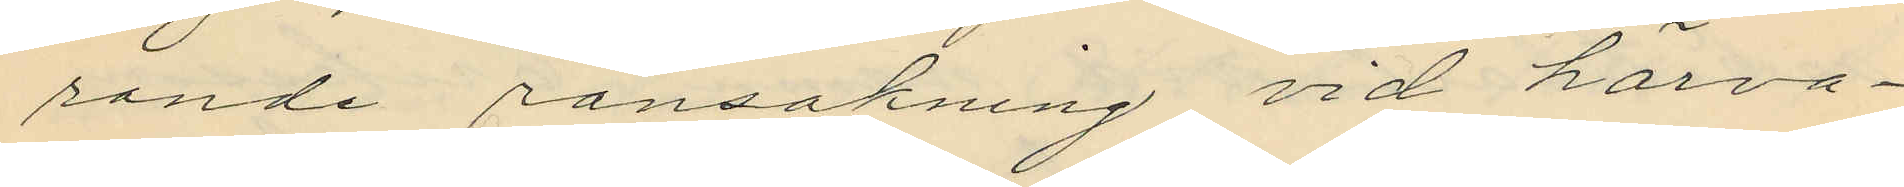rande ransakning vid härva¬
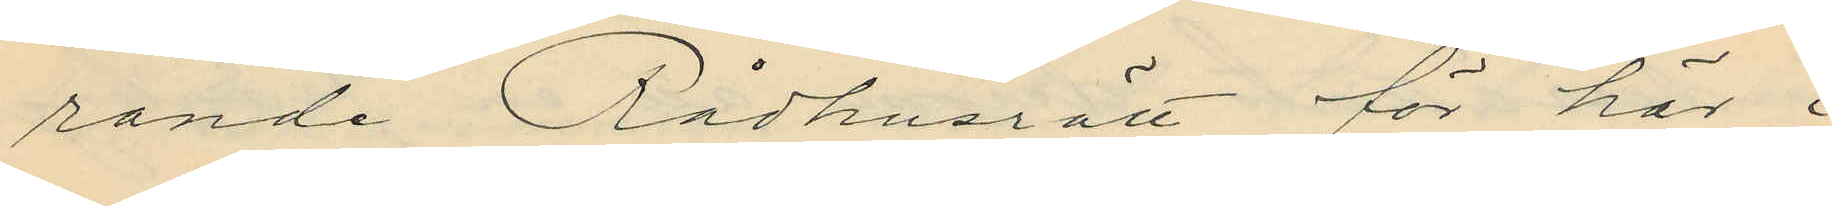rande Rådhusrätt för här i
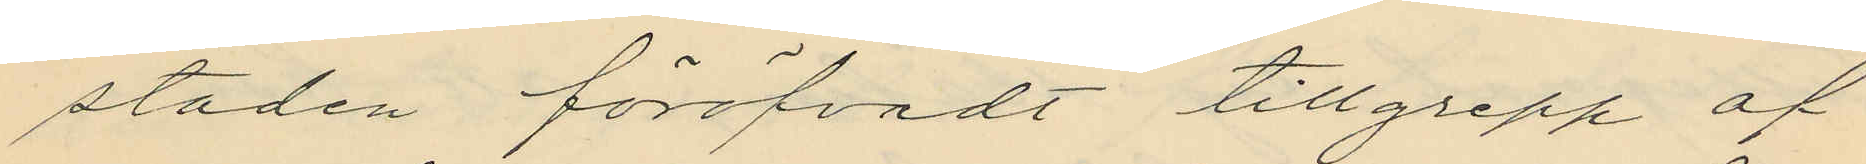staden föröfvadt tillgrepp af
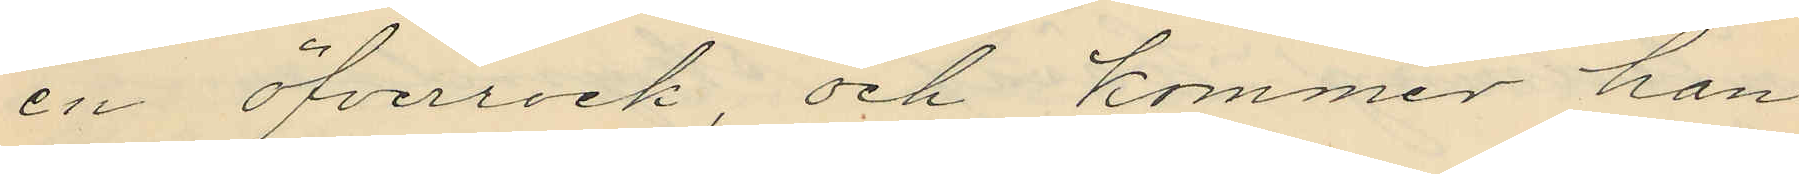en öfverrock, och kommer han
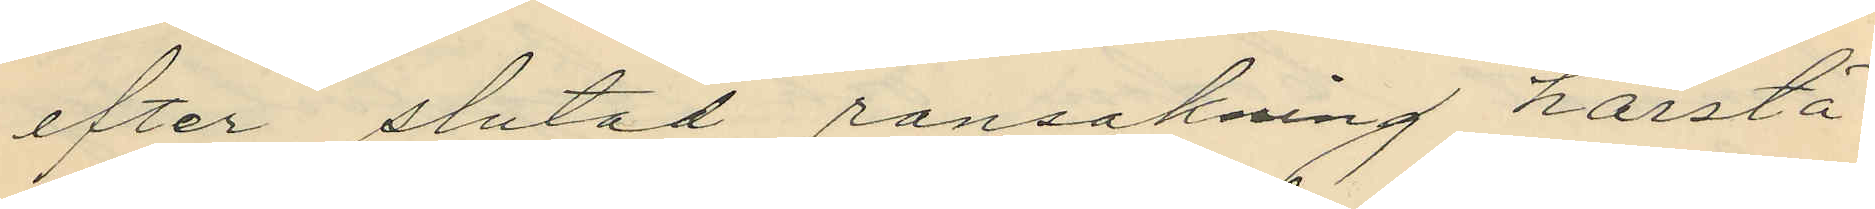efter slutad ransakning härstä¬
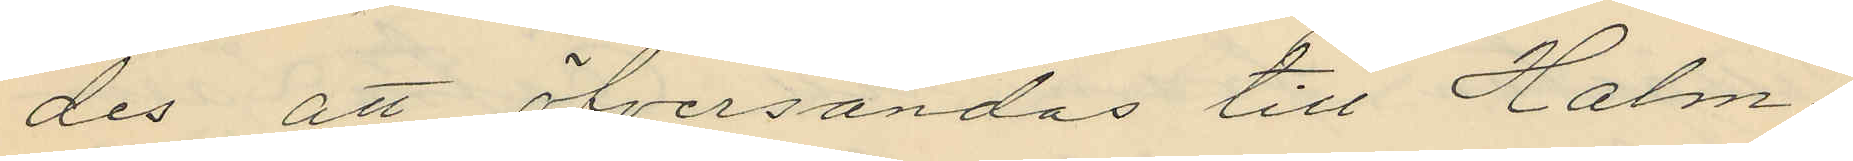des att öfversändas till Halm¬
